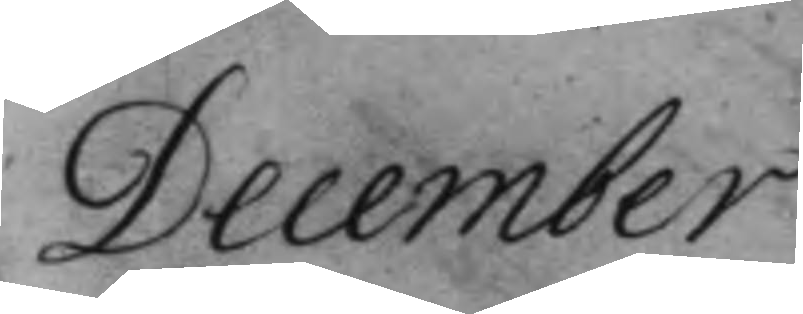December
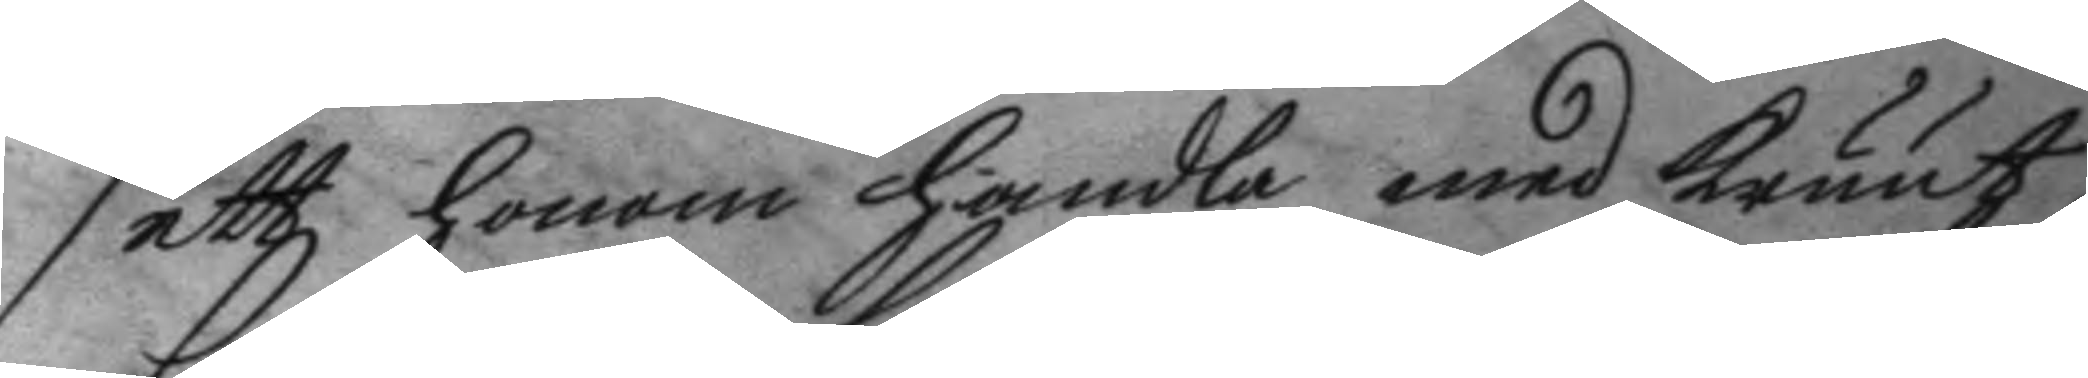sett honom handla med kruut
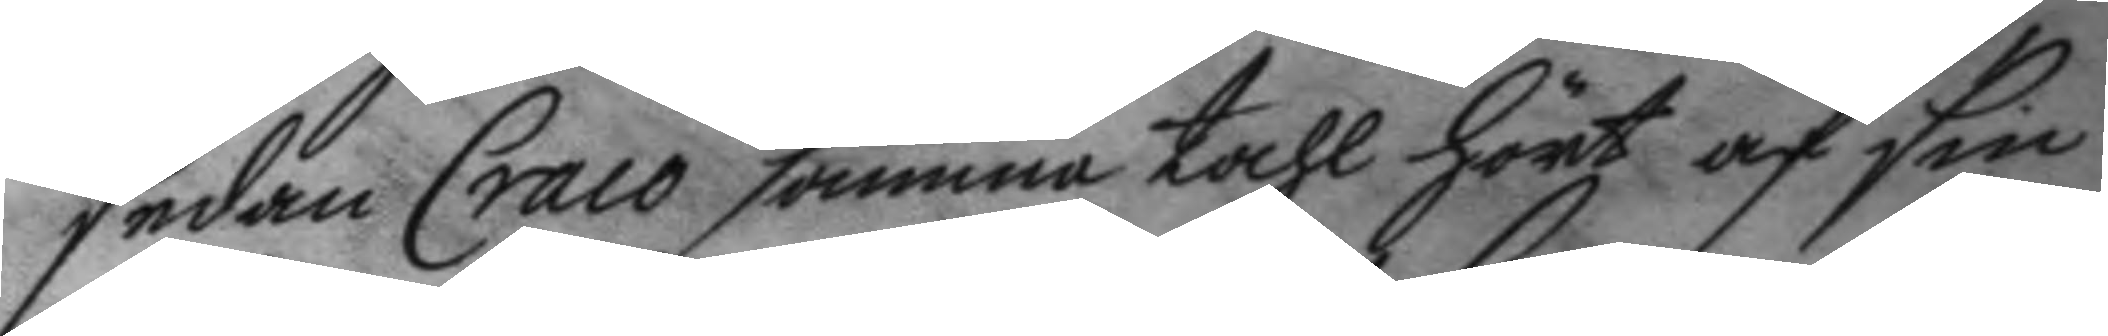sedan Craco samma tahl hört af sin
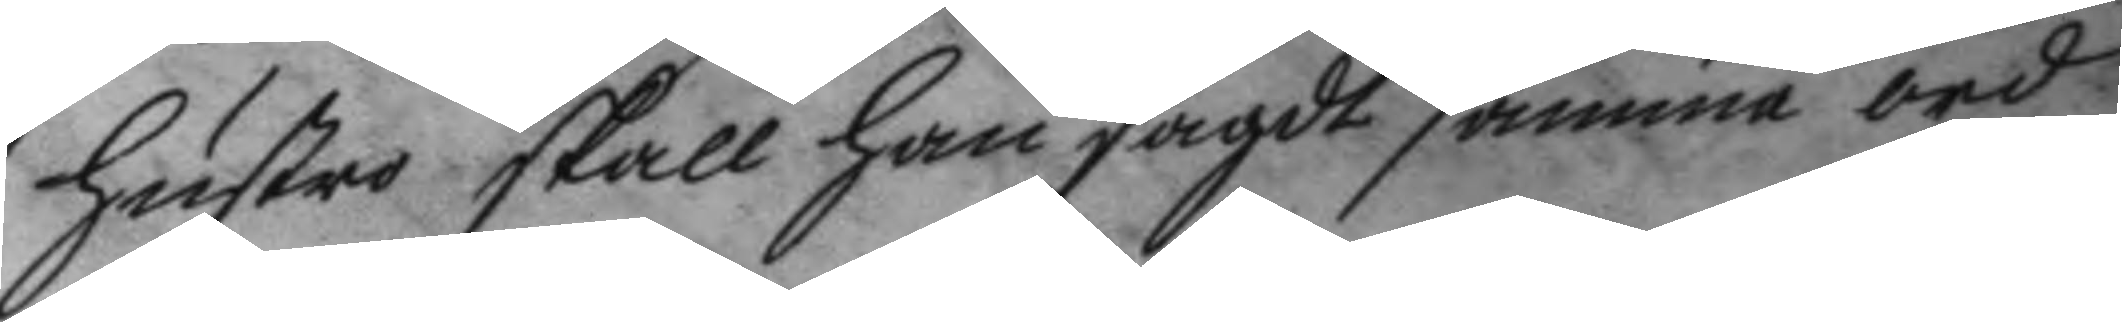hustro skall han sagdt samma ord
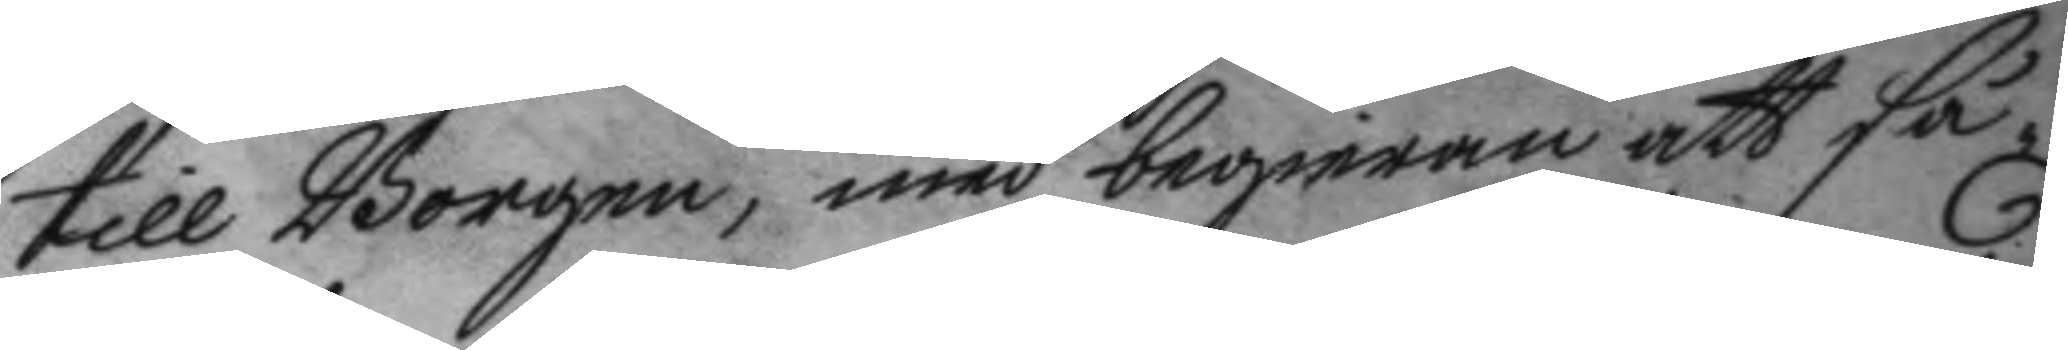till Borgaren, medbegieran att så¬
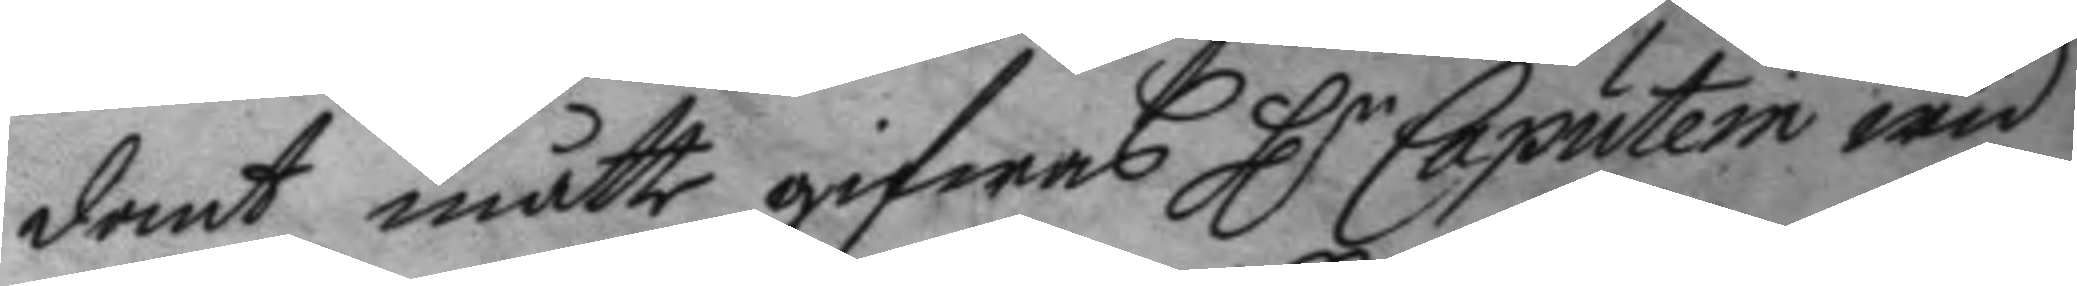dant måtte gifwas Hr Caputein wid
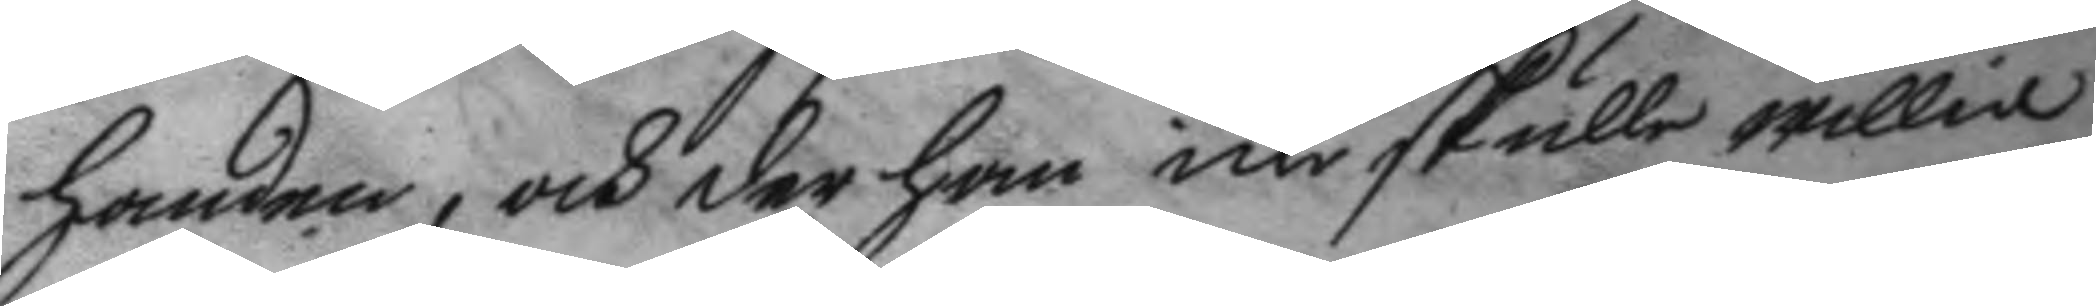handen, och der han icke skulle willia
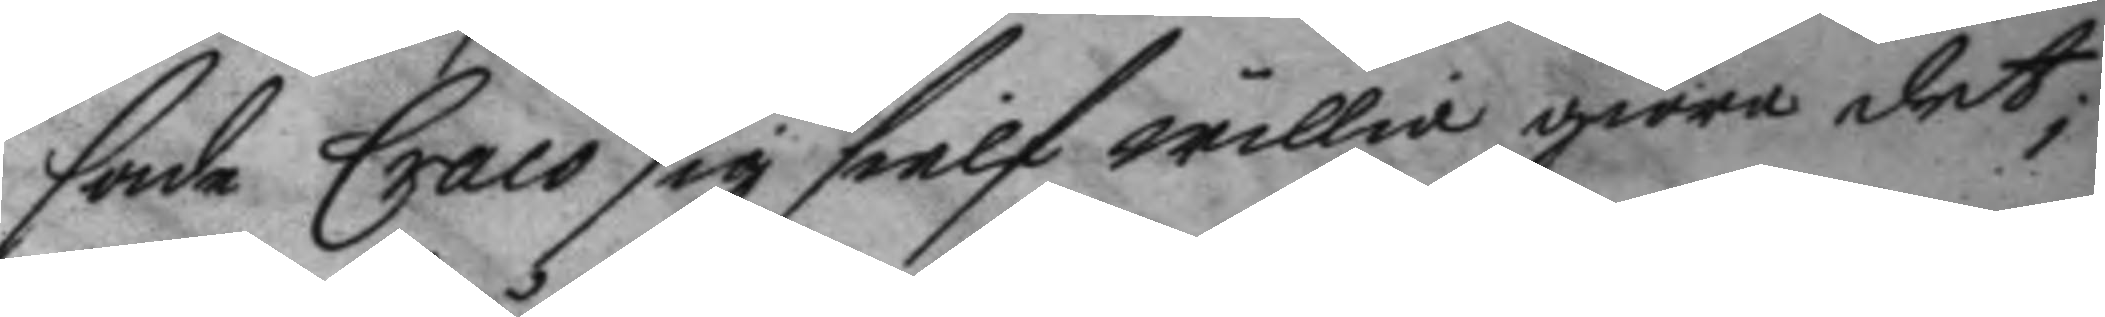sade Craco sig sielf willia giöra det,
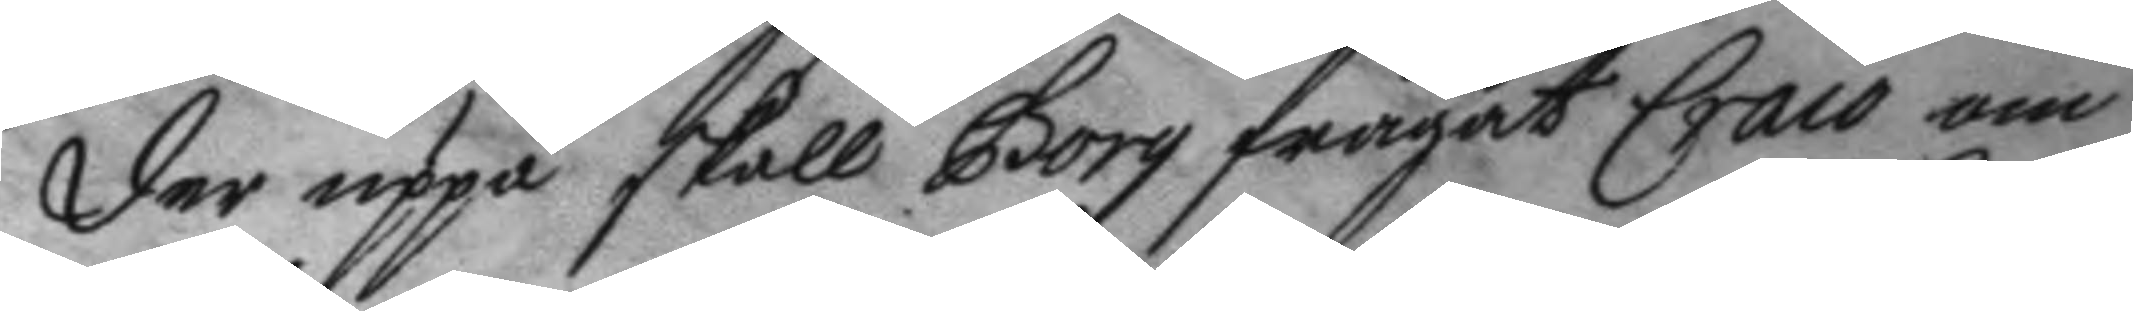der uppå skall Borg frågat Craco om
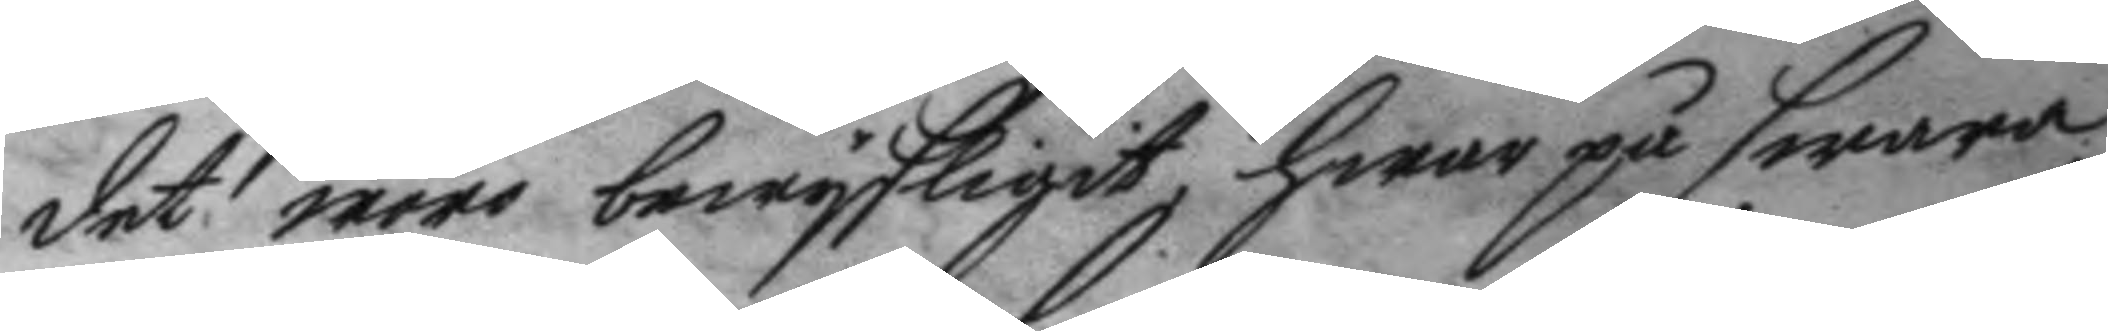det wore bewysligit, hwar på swara¬
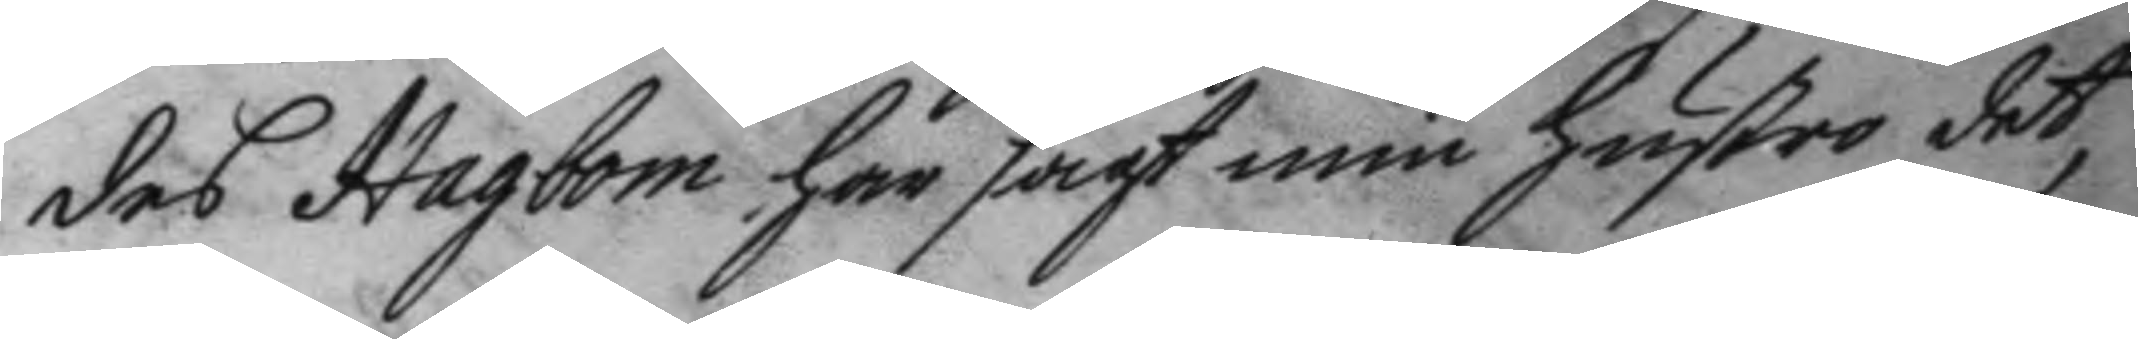des Hagbom har sagt min hustro det,
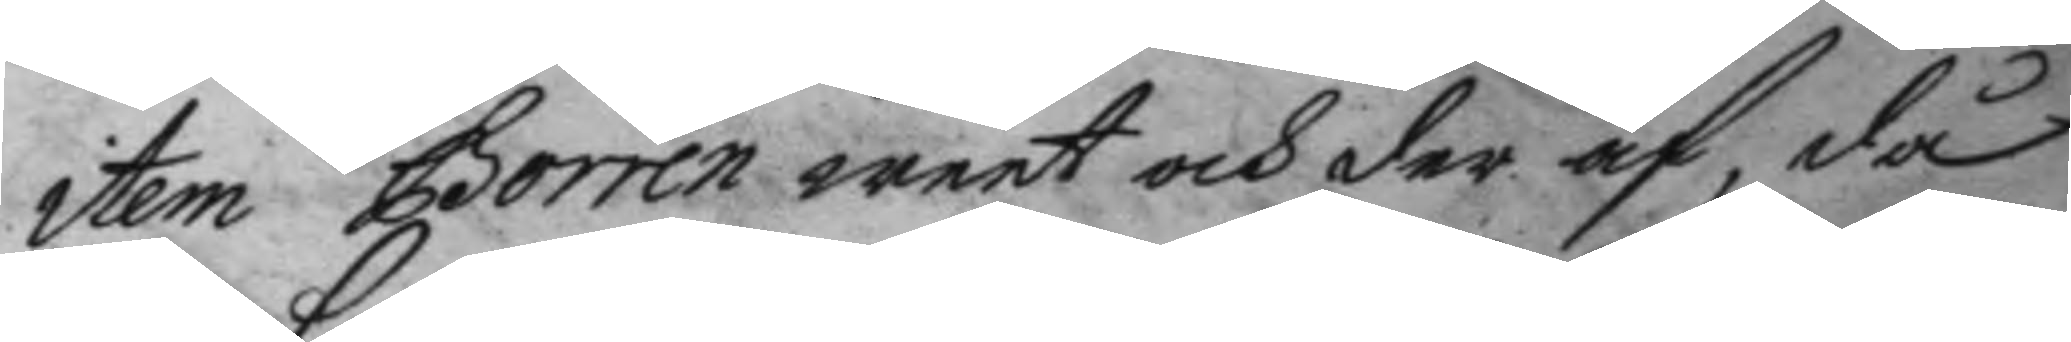item Borren weet och der af, då
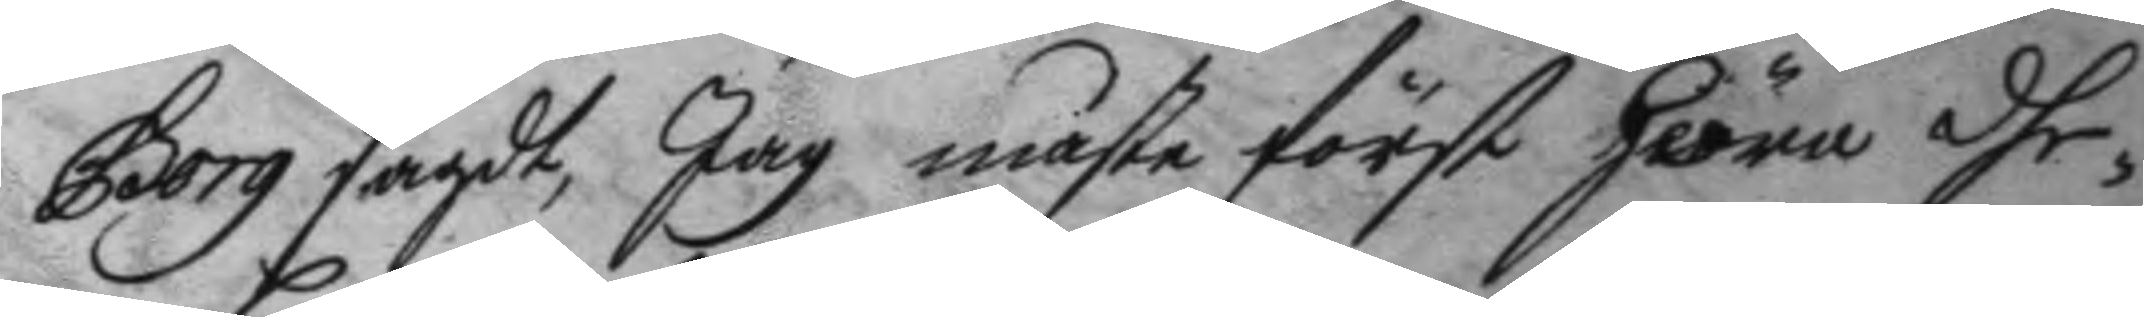Borg sagdt, Jag måste först höra dhe¬
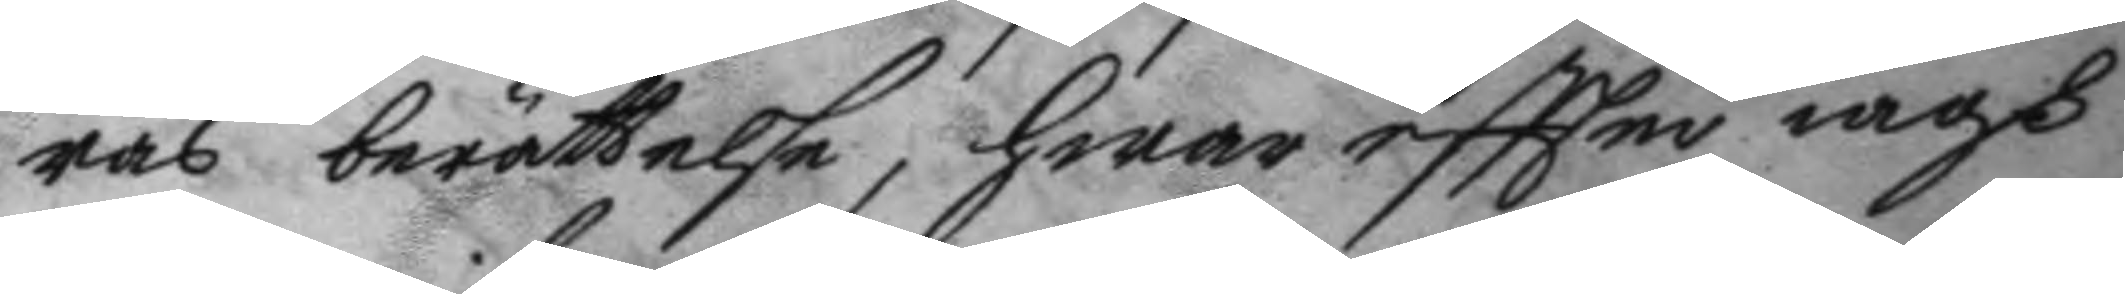ras berättelse, hwar eftter iagh
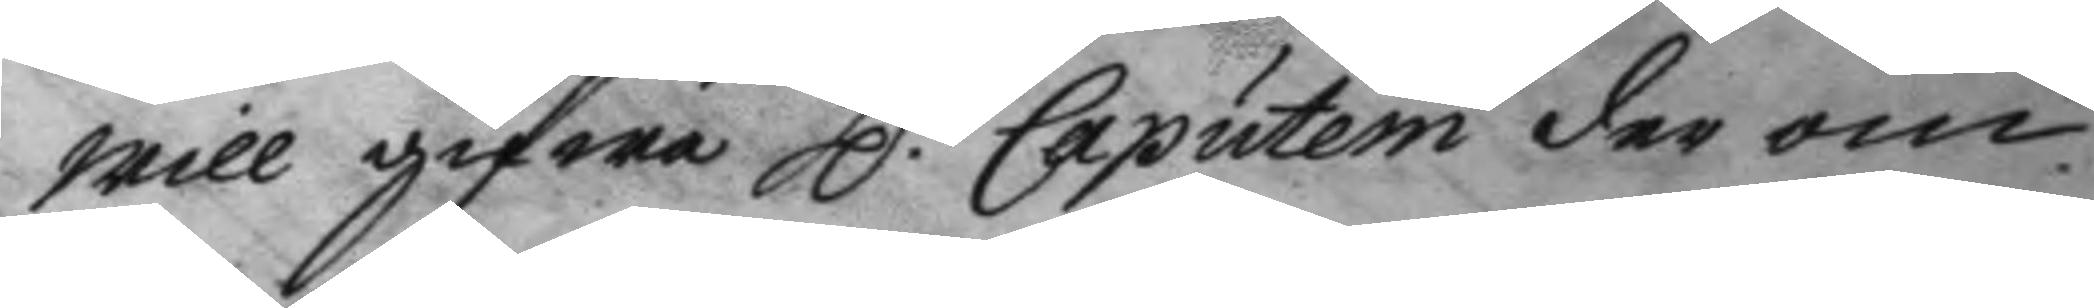will gifwa H.r Caputein der om
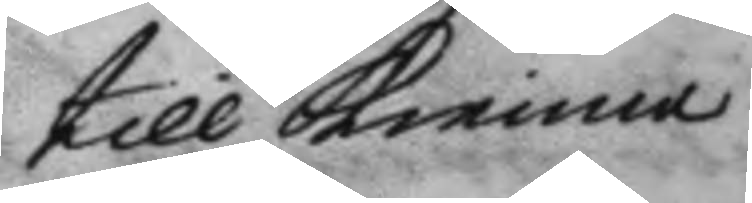till kienna.
